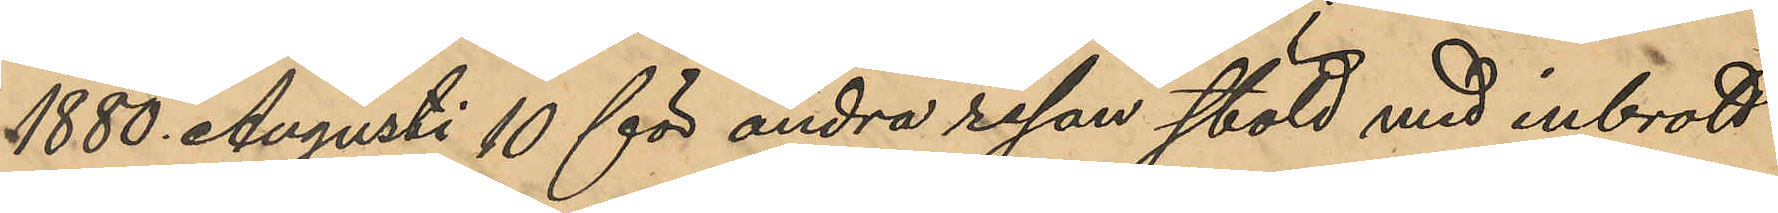1880 Augusti 10 för andra resan stöld med inbrott
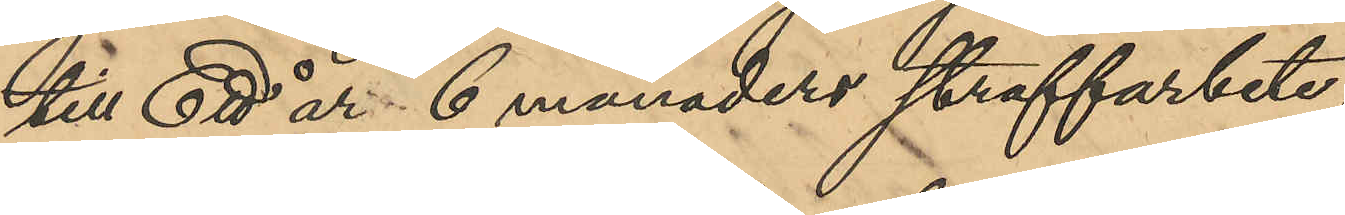till Ett år 6 månaders straffarbete;
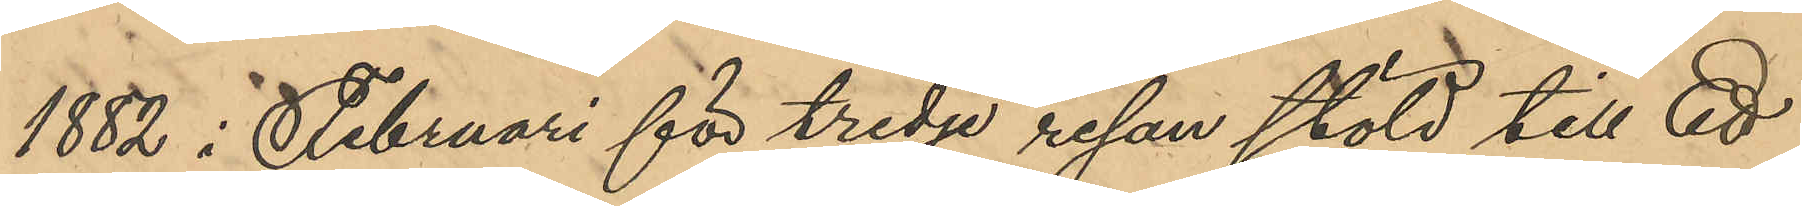1882 i Februari för tredje resan stöld till Ett
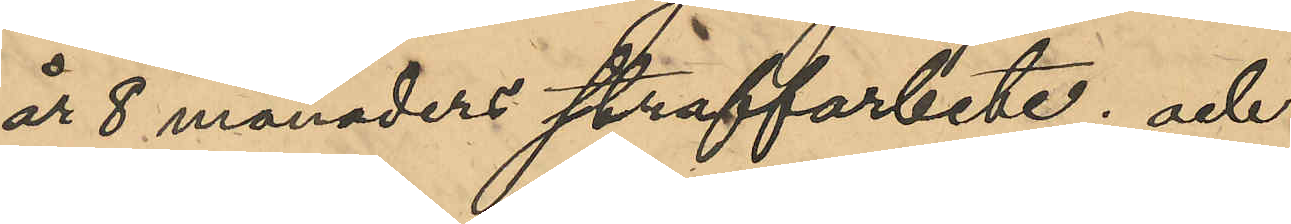år 8 månaders straffarbete; och
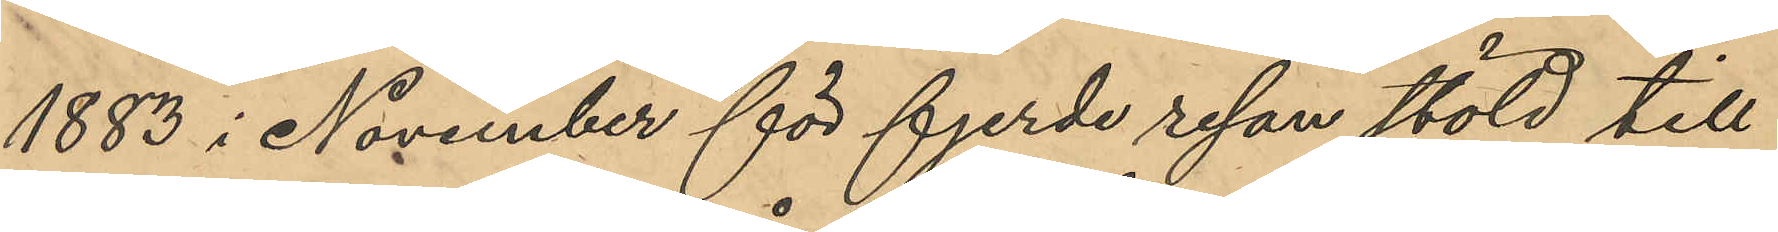1883 i November för fjerde resan stöld till
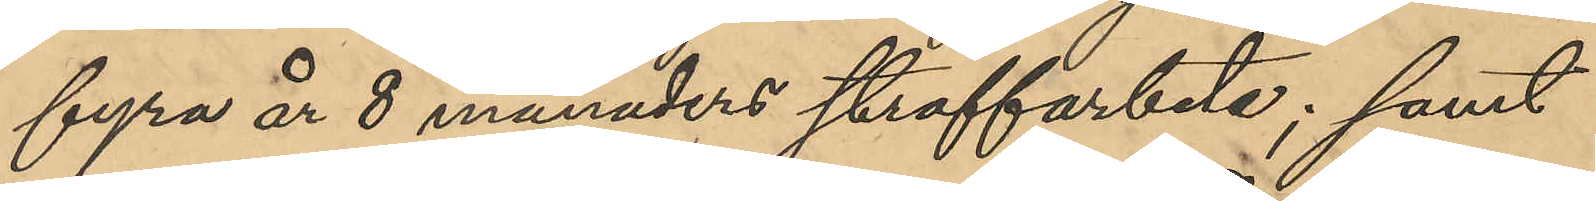fyra år 8 månaders straffarbete; samt
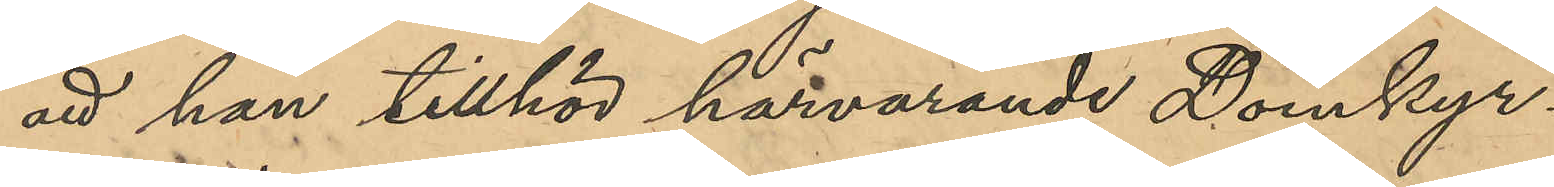att han tillhör härvarande Domkyr¬
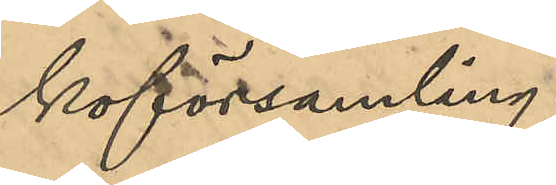koförsamling.
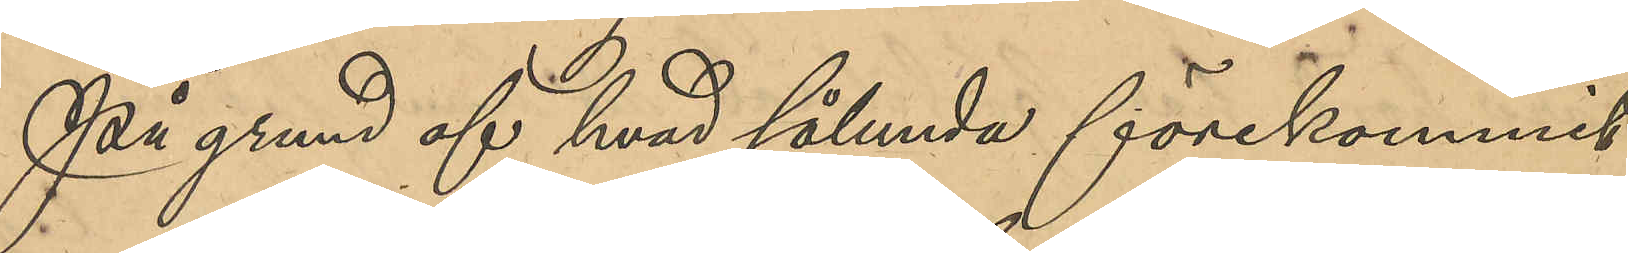På grund af hvad sålunda förekommit
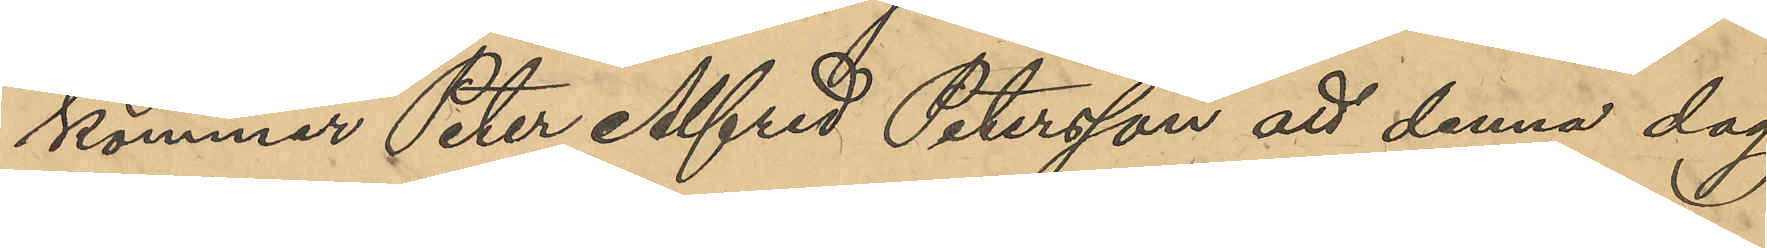kommer Peter Alfred Petersson att denna dag
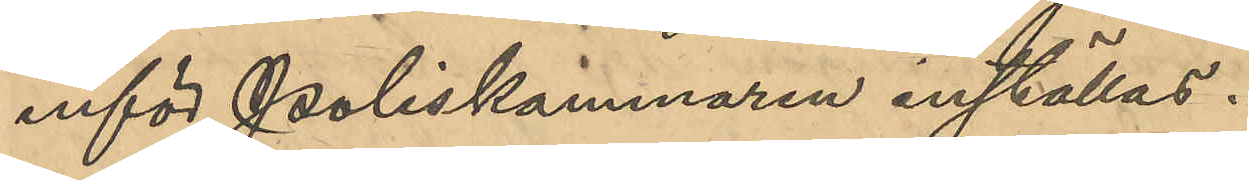inför Poliskammaren inställas.
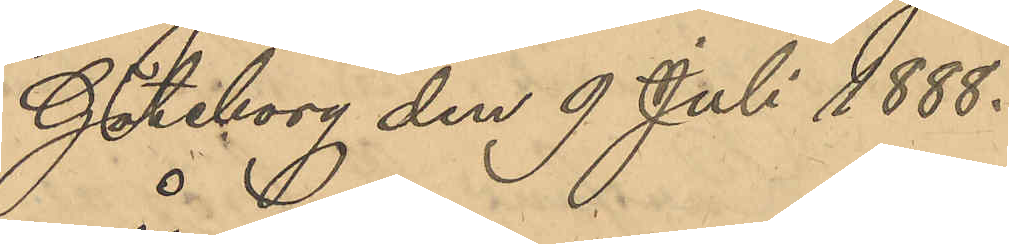Göteborg den 9 Juli 1888.
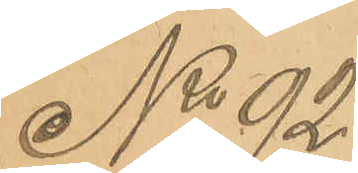No 92
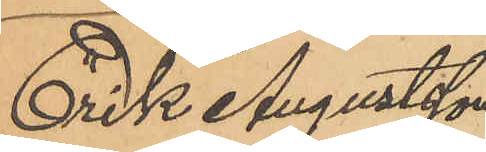Erik Augustsson
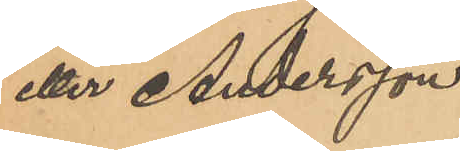eller Andersson.
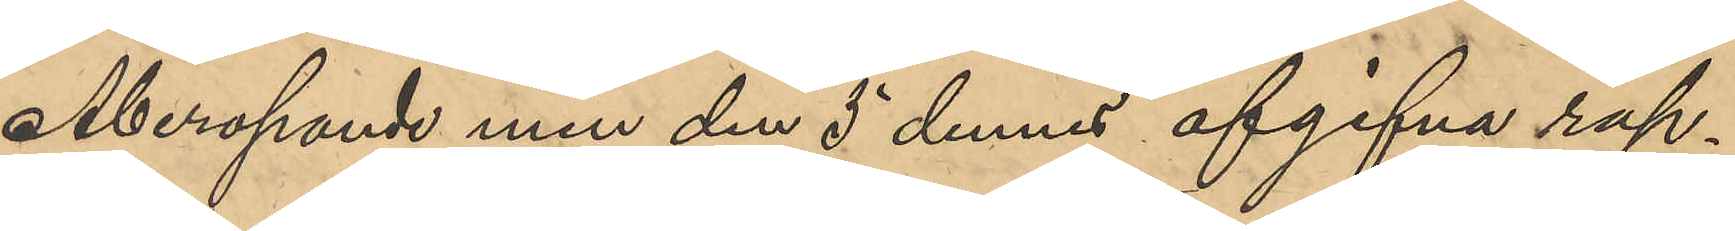Åberopande min den 5 dennes afgifna rap¬
